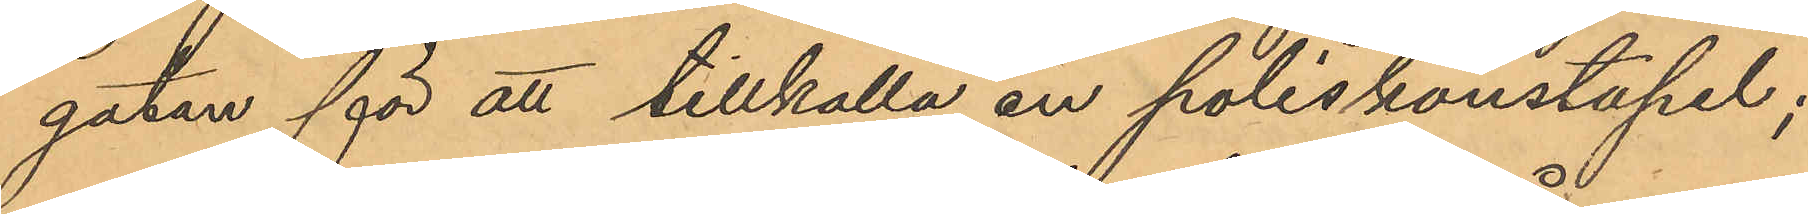gatan för att tillkalla en poliskonstapel;
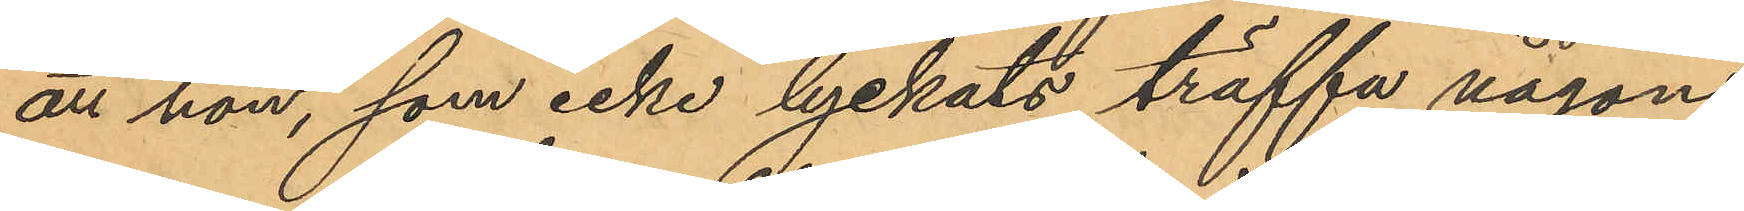att hon, som icke lyckats träffa någon
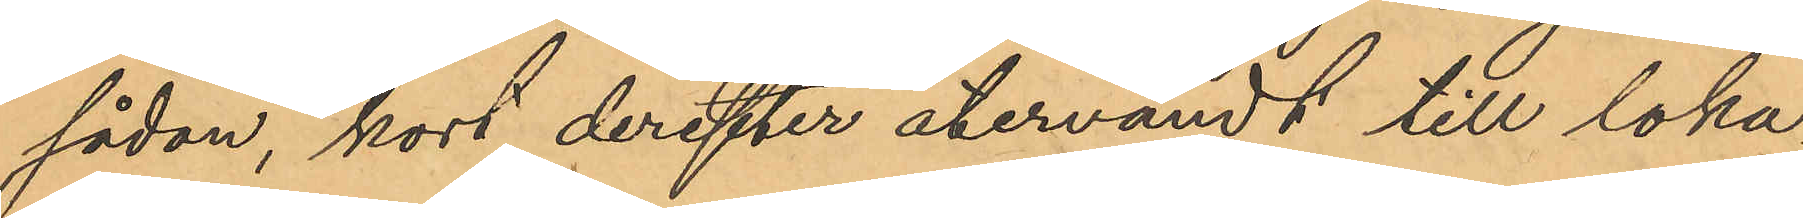sådan, kort derefter återvändt till loka¬
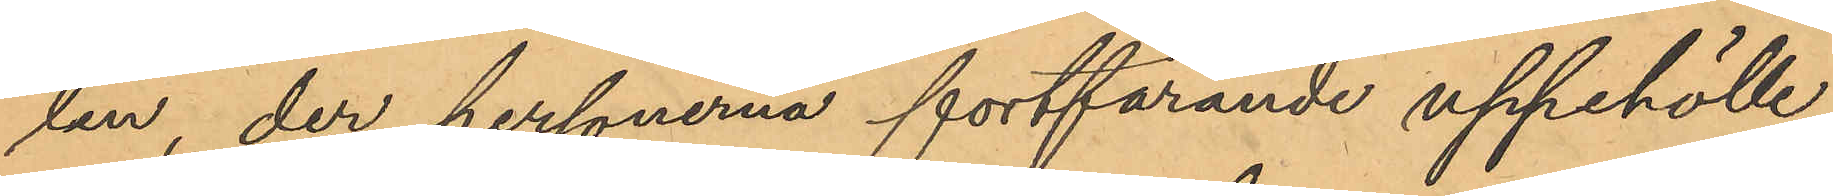lan, der personerna fortfarande uppehölle
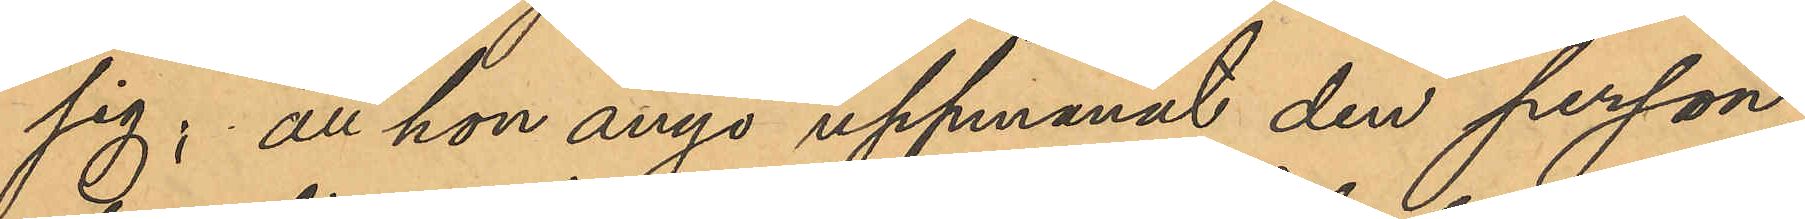sig; att hon ånyo uppmanat den person,
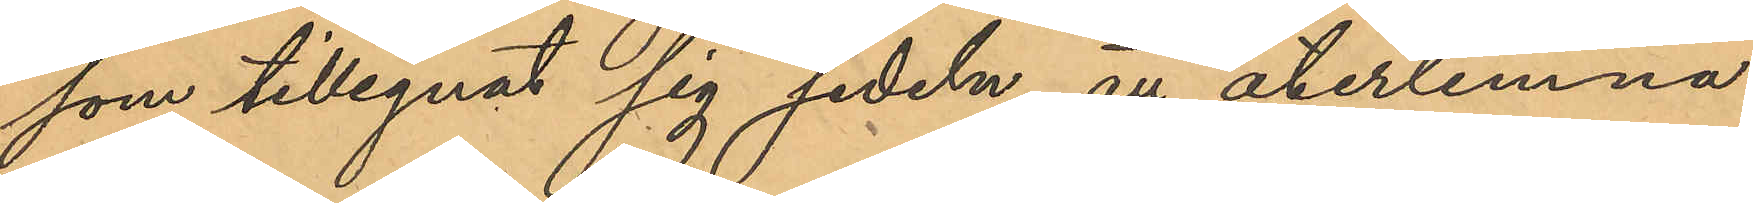som tillegnat sig sedeln, att återlemna
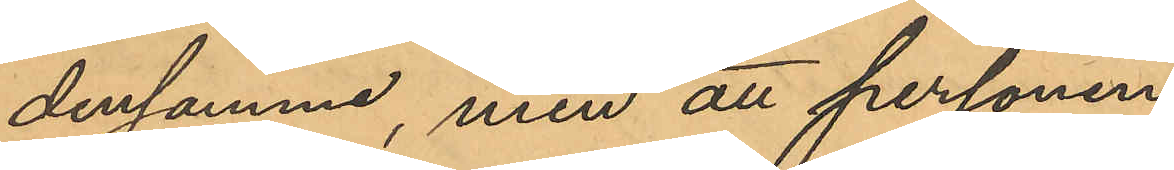densamma, men att personen
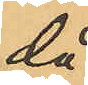då
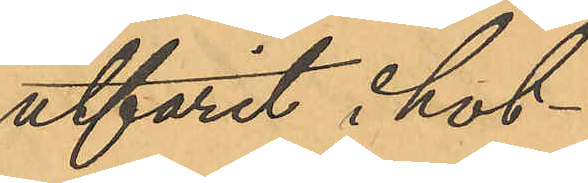utfarit i hot¬
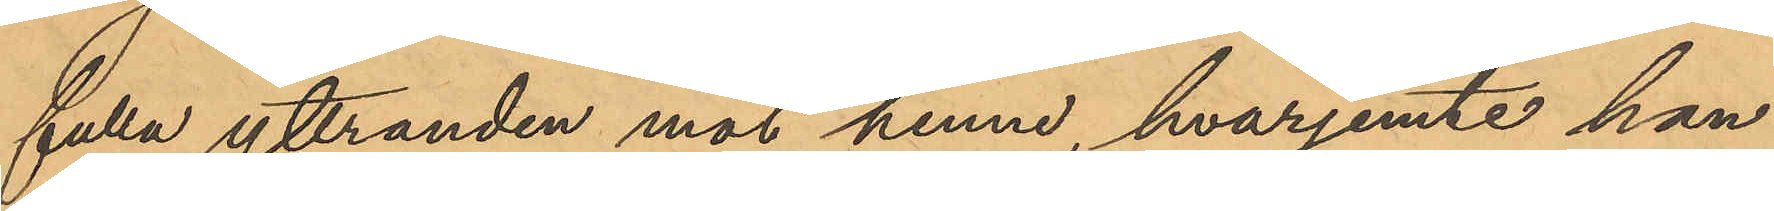fulla yttranden mot henne, hvarjemte han
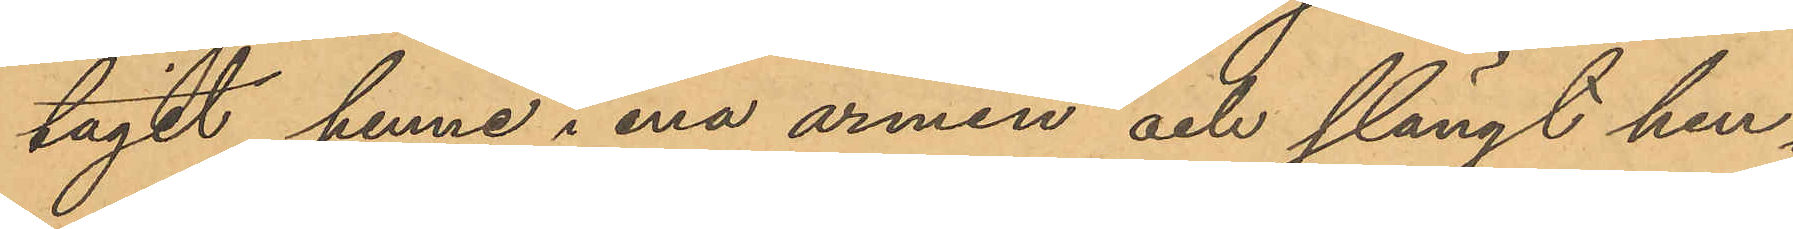tagit henne i ena armen och slängt hen¬
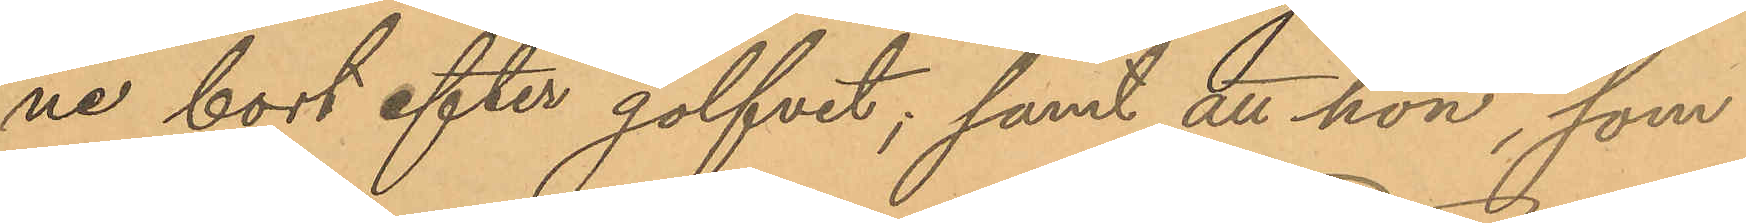ne bort efter golfvet; samt att hon, som
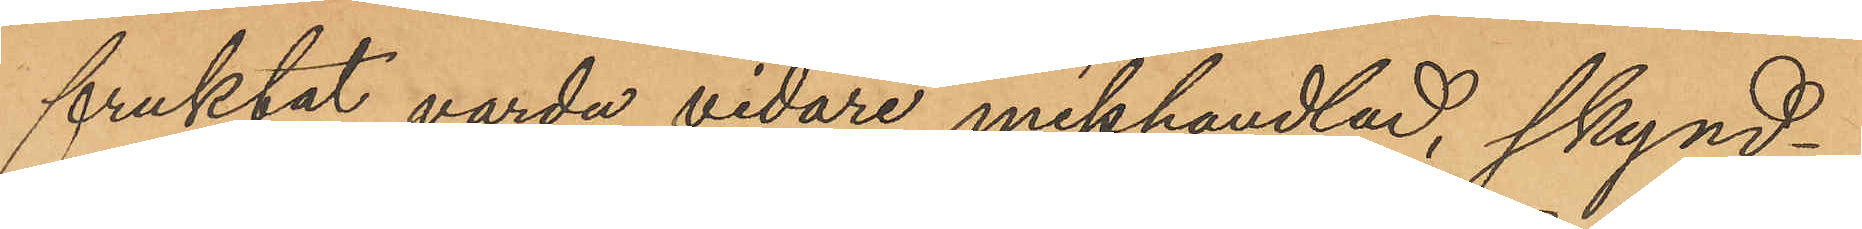fruktat varda vidare misshandlad, skynd¬
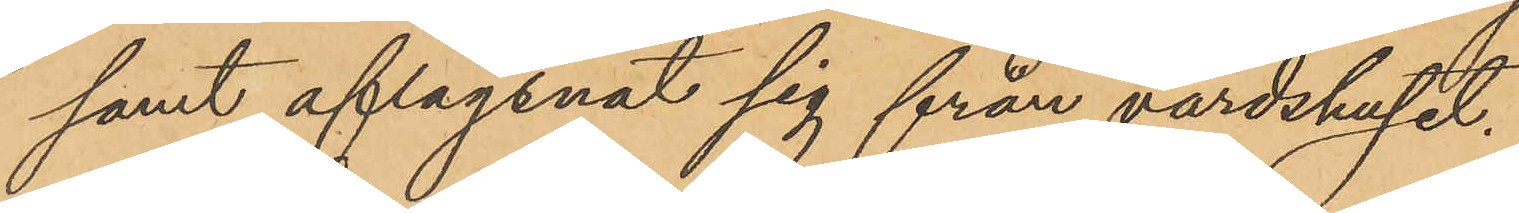samt aflägsnat sig från värdshuset.
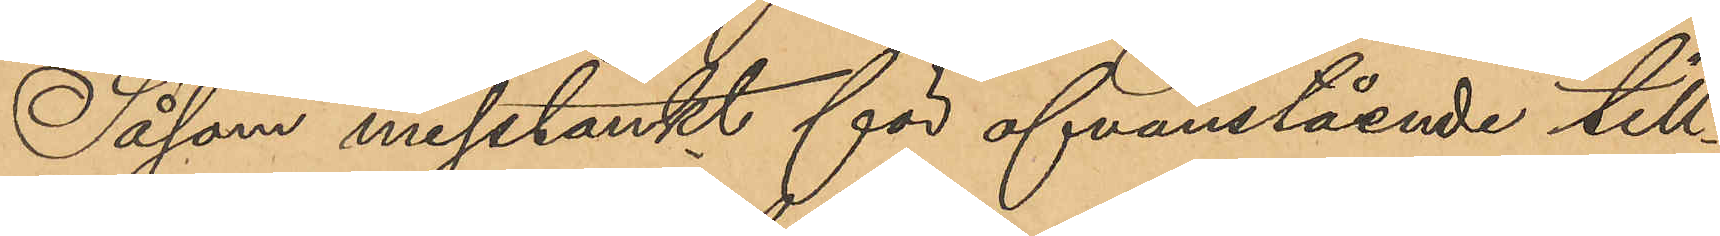Såsom misstänkt för ofvanstående till¬
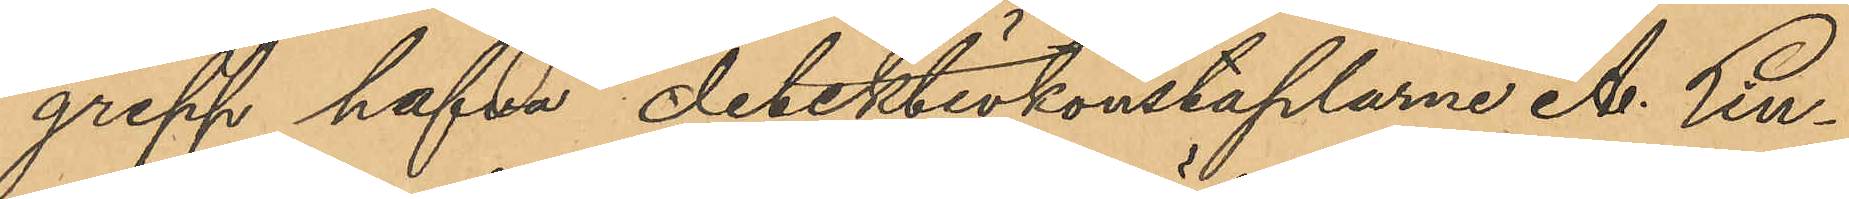grepp hafva detektivkonstaplarne A. Lin¬
